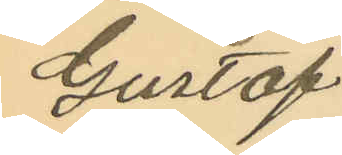Gustaf
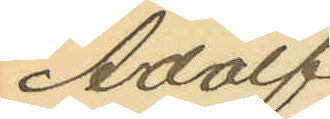Adolf
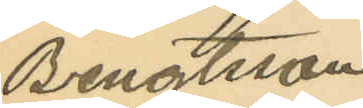Bengtsson
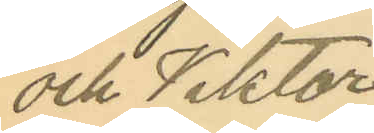och Viktor
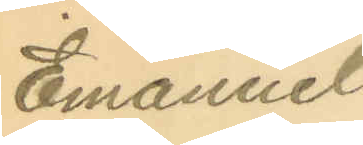Emanuel
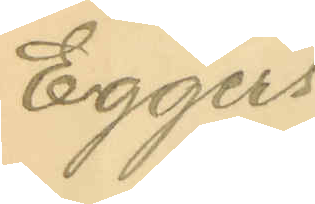Eggers.
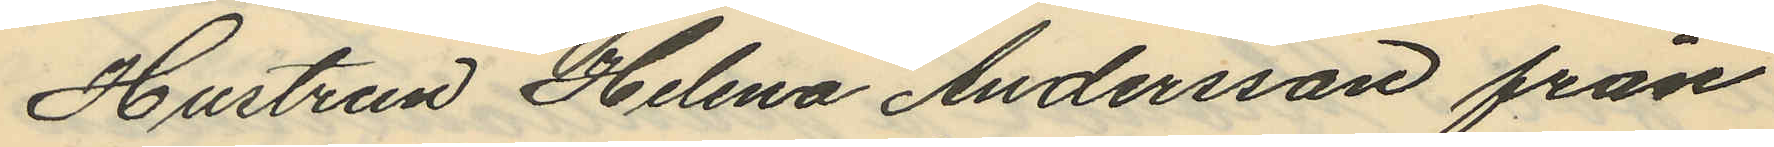Hustrun Helena Andersson från
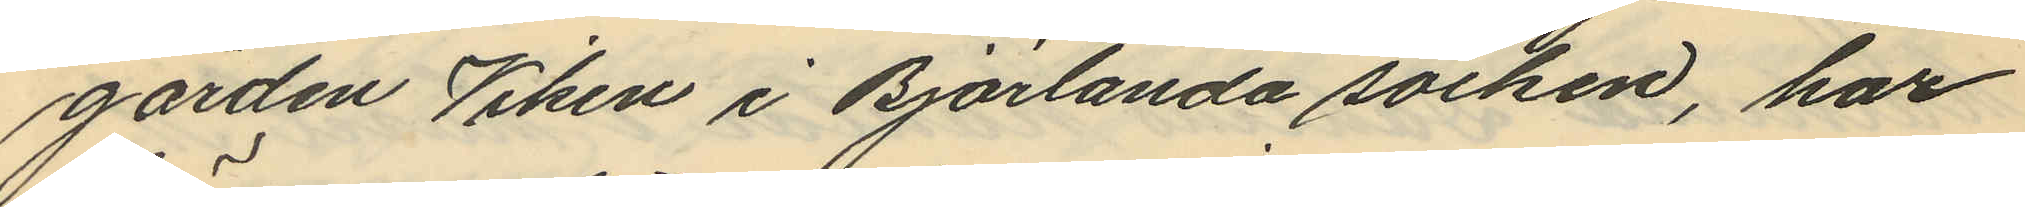gården Viken i Björlanda socken, har
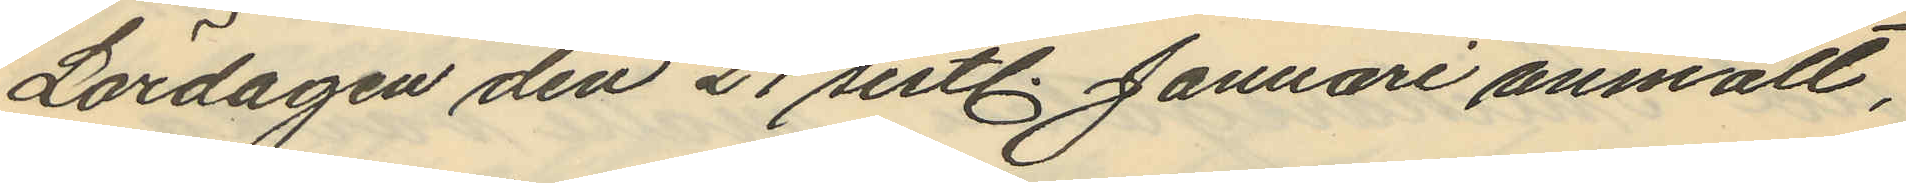Lördagen den 21 sistl. Januari anmält,
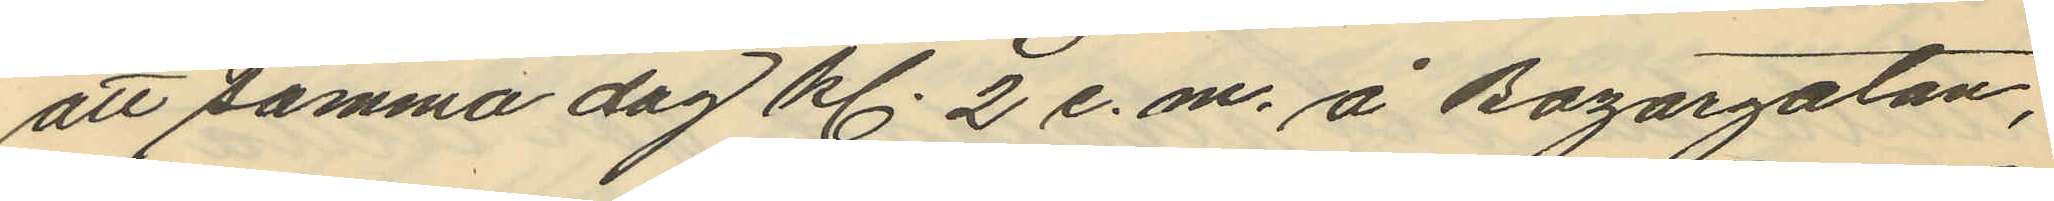att samma dag kl. 2 e. m. å Bazargatan,
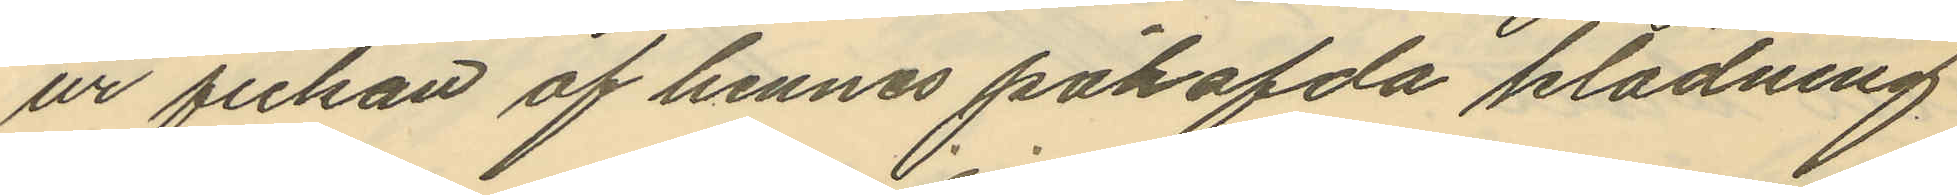ur fickan af hennes påhafda klädning
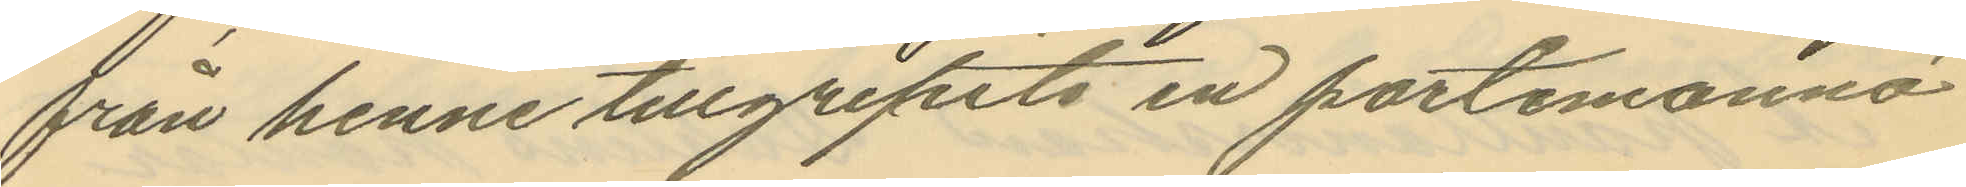från henne tillgripits en portemonnä
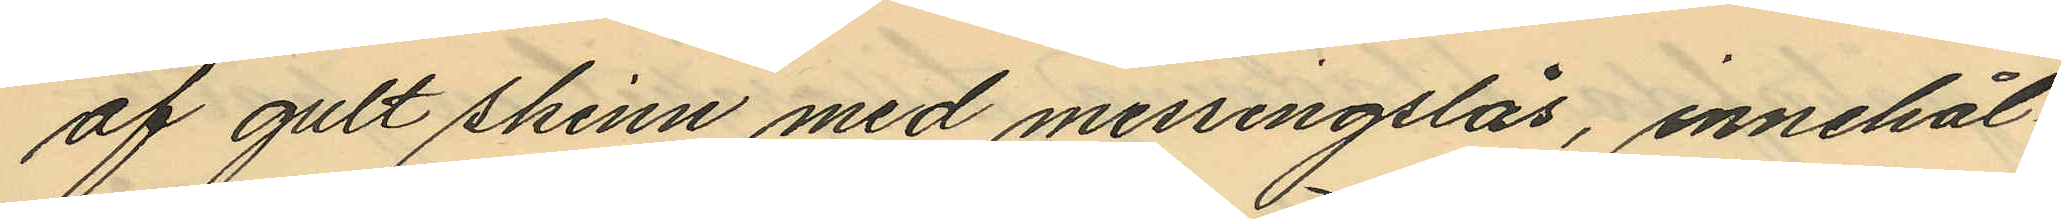af gult skinn med messingslås, innehål¬
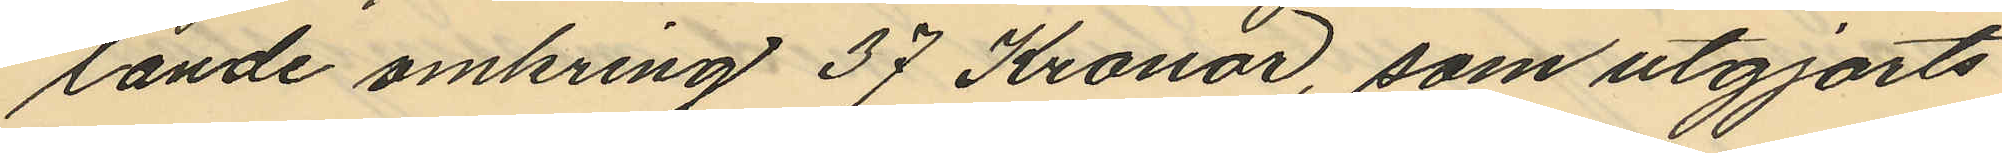lande omkring 37 Kronor, som utgjorts
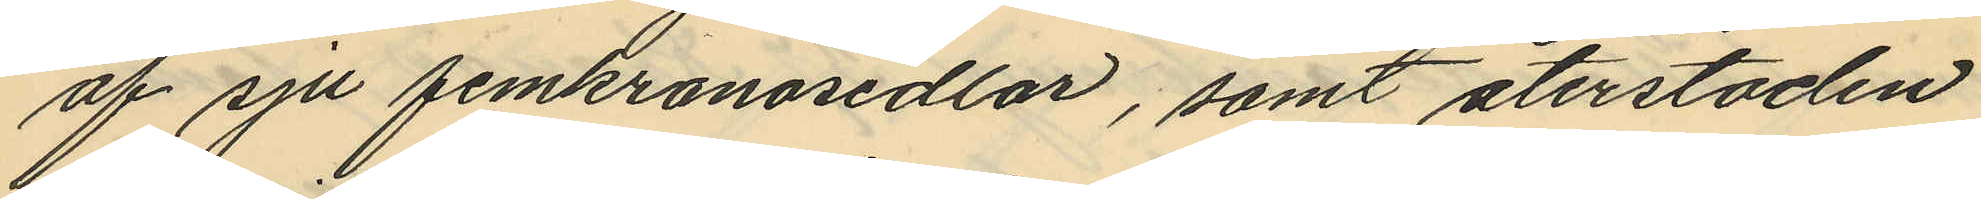af sju femkronosedlar, samt återstoden
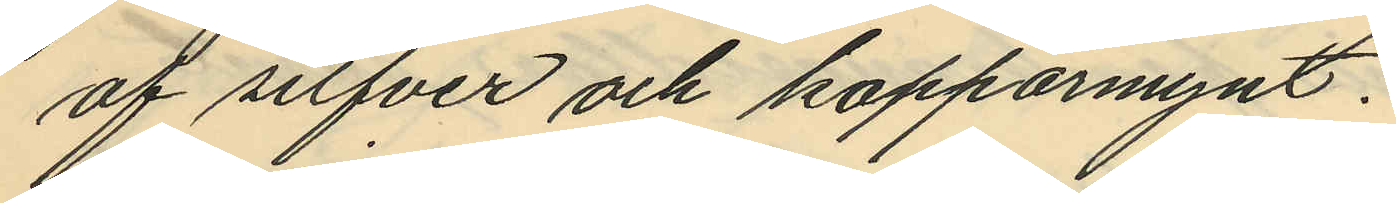af silfver och kopparmynt.
